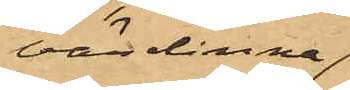värdinna
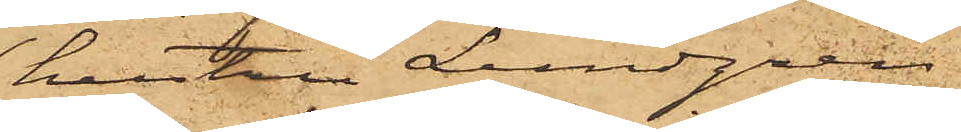hustru Lundgren
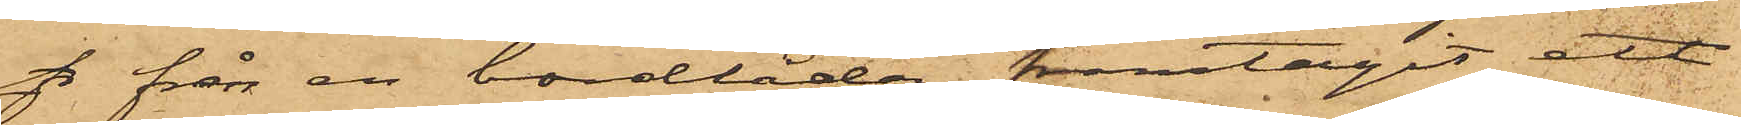& från en bordlåda framtagit ett
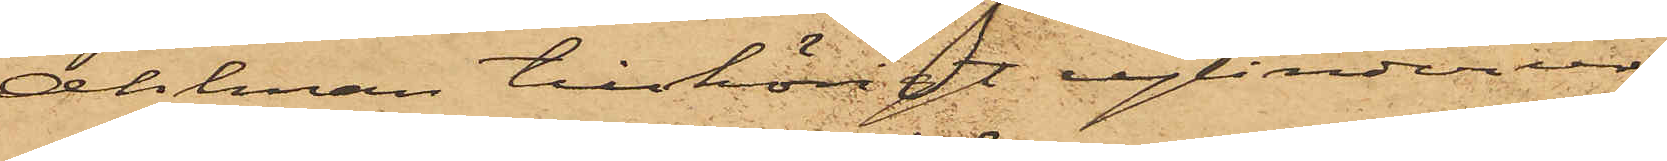Ahlman tillhörigt cylinderur
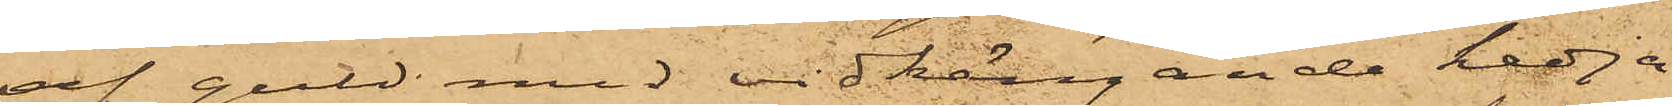af guld med vidhängande kedja
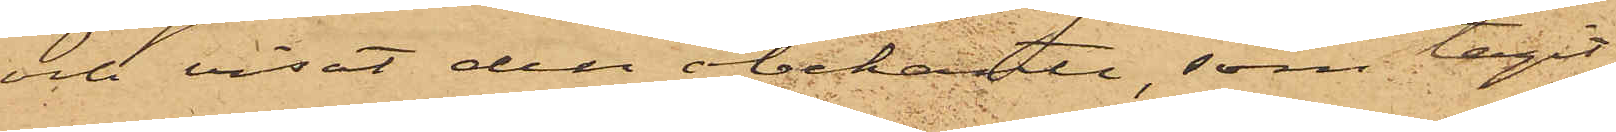och visat den obekante, som tagit
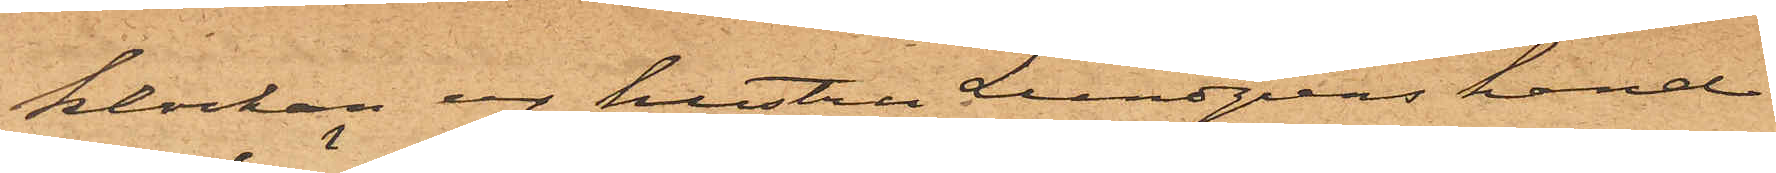klockan ur hustru Lundgrens hand
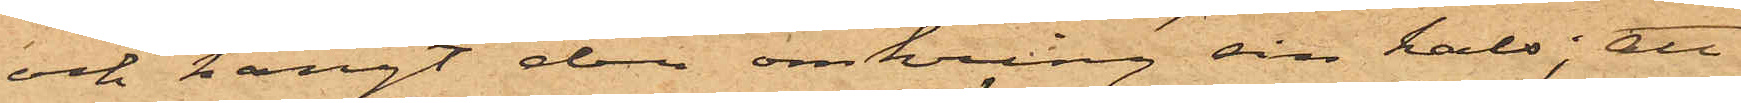och hängt den omkring sin hals; att
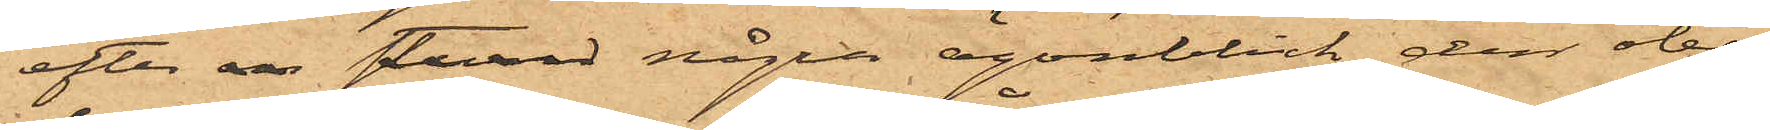efter en sted några ögonblick den obe¬
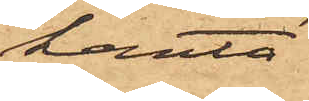kante
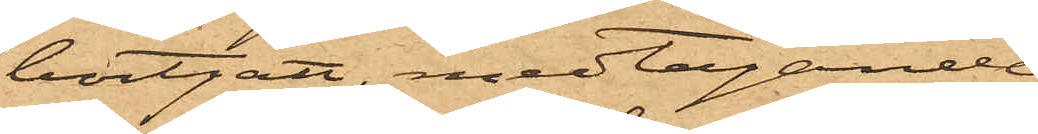bortgått, medtagande
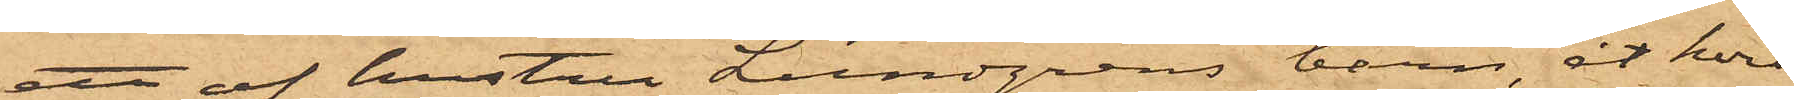ett af hustru Lundgrens barn, åt hvil¬
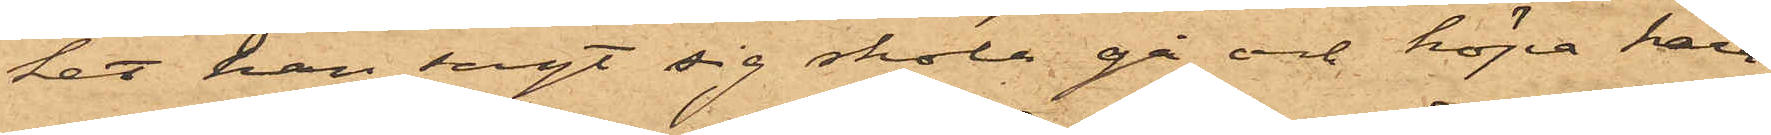ket han sagt sig skola gå och köpa kara¬
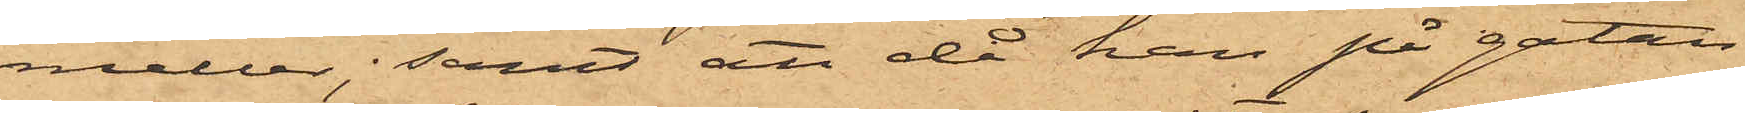meller; samt att då han på gatan
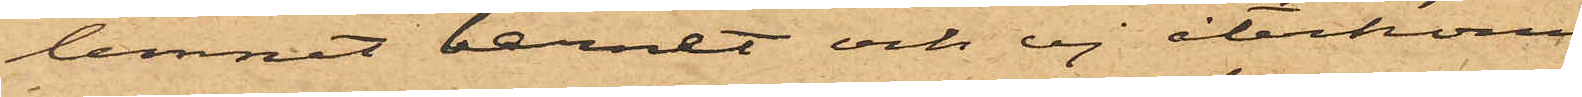lemnat barnet och ej återkommit
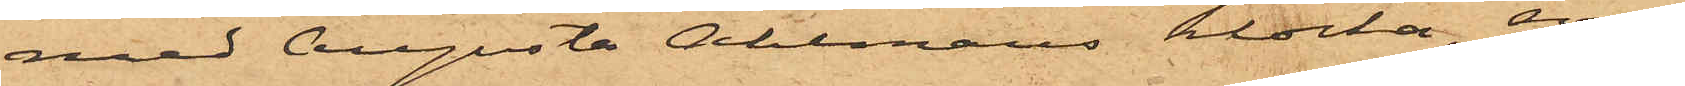med Augusta Ahlmans klocka, som
